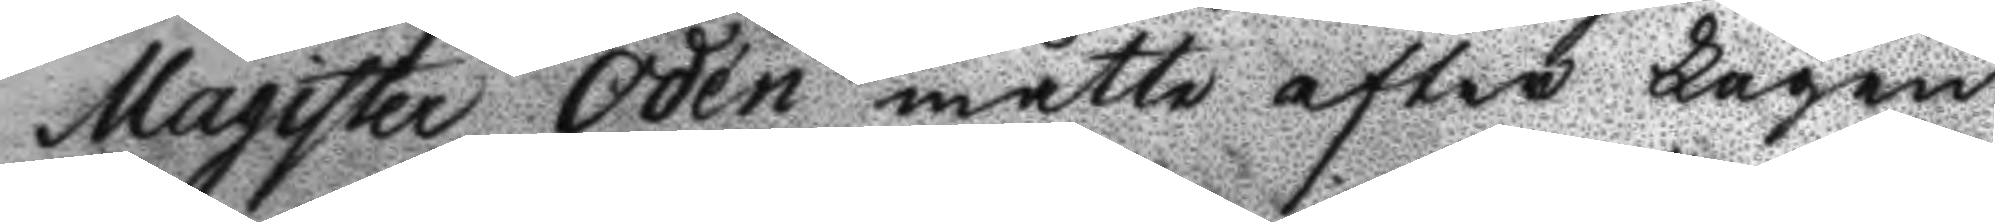Magister Odén måtte efter Lagen
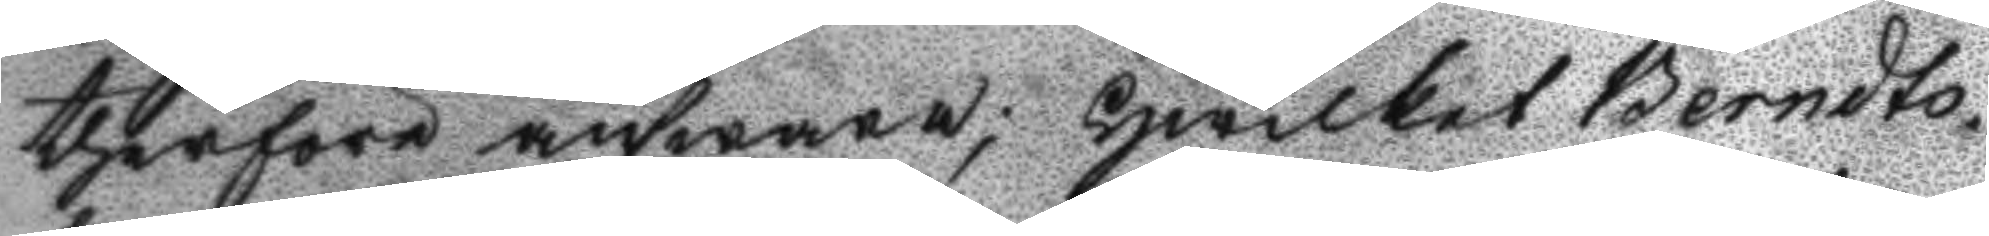therföre answara; hwilket Berndts¬
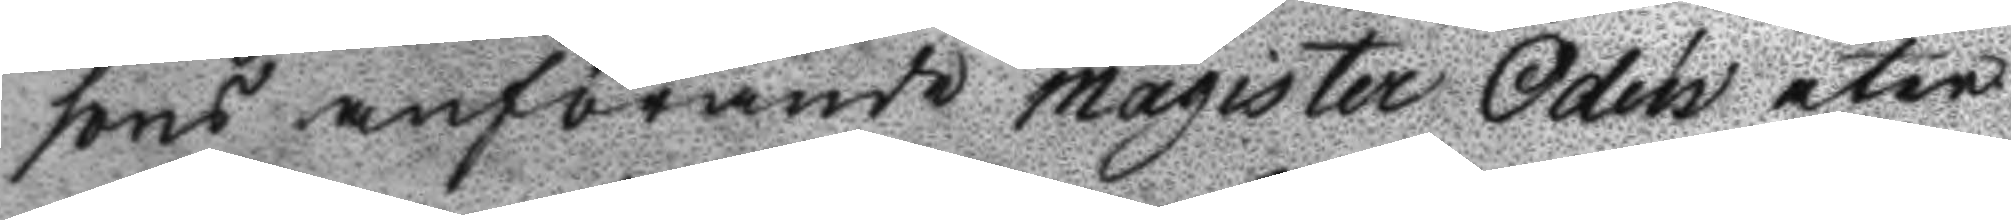sons anförande maguister Odén åter
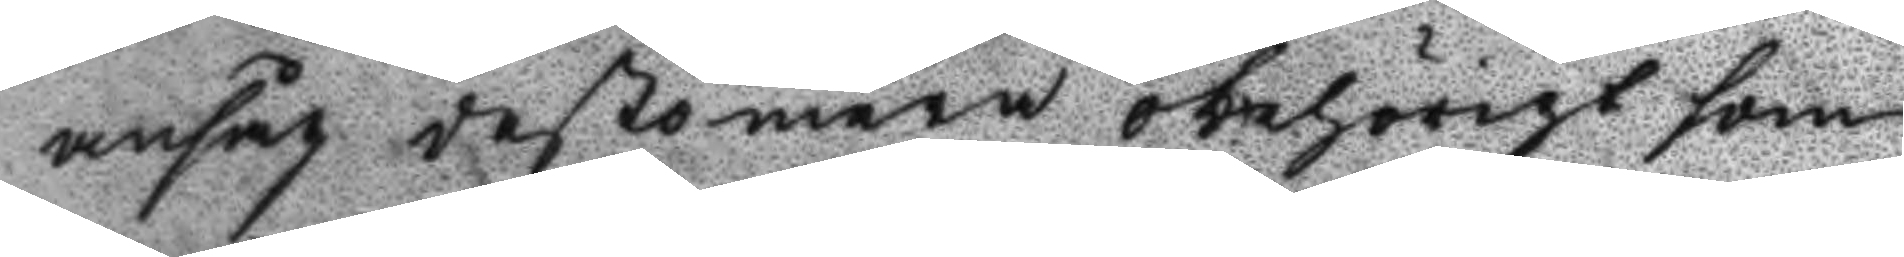ansåg destomera obehörigt som
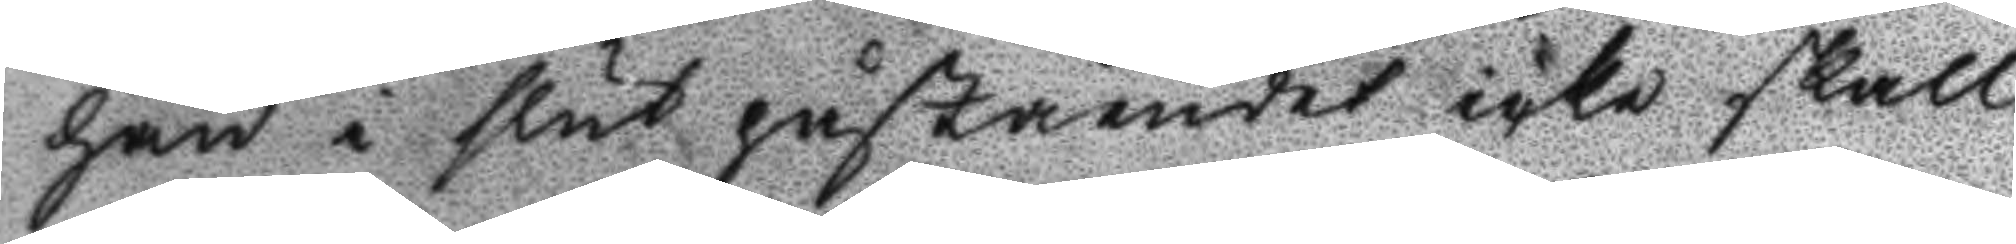han i slut påståendet icke skall
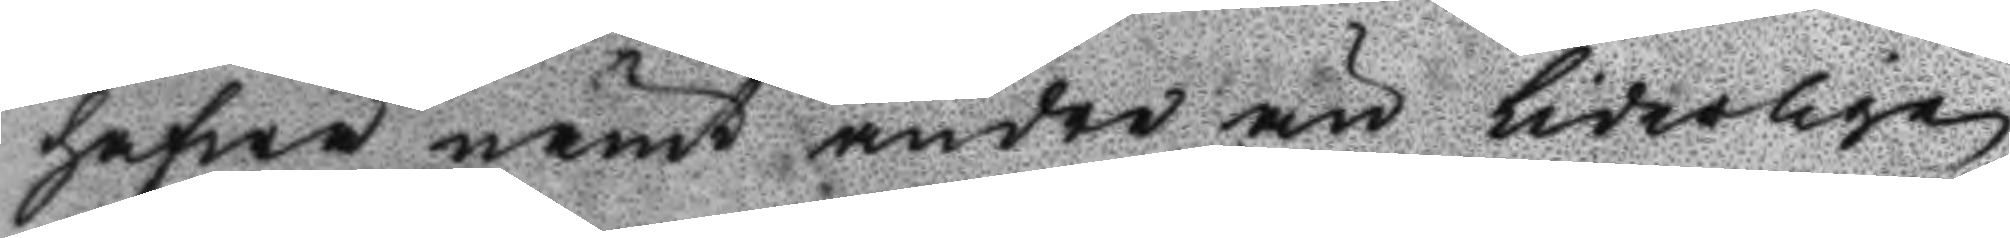hafwa nämt andre än liderlige
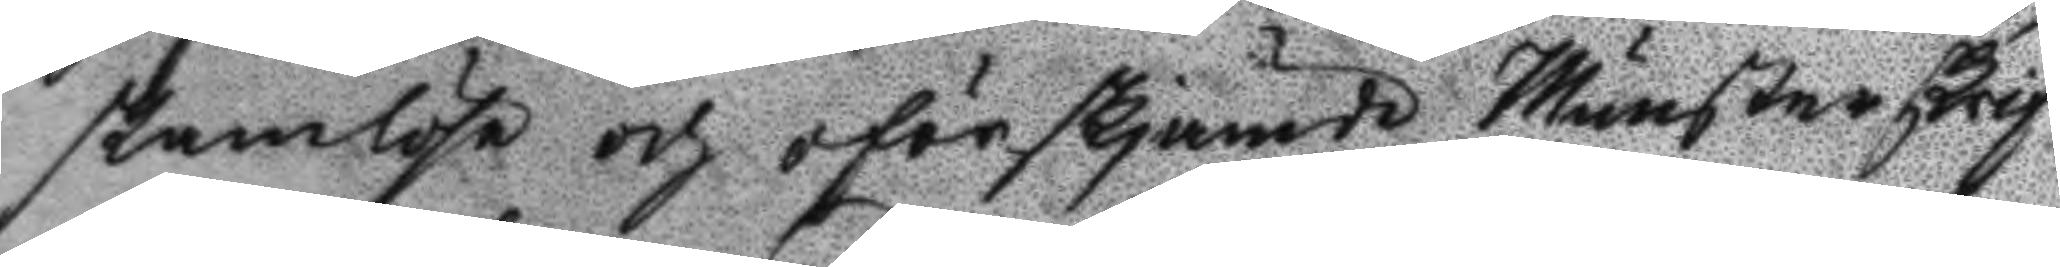skamlöse och oförskjämde Munsterskrif¬
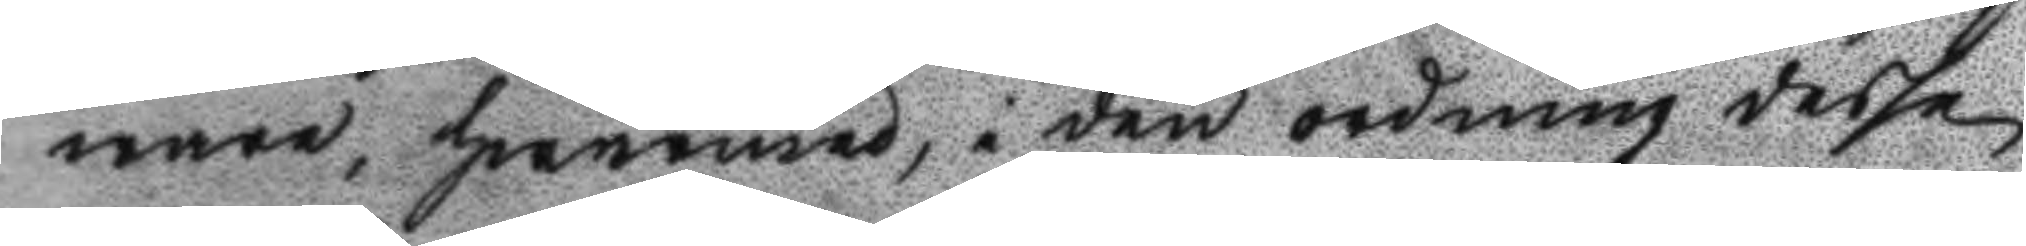ware, hwarmed, i den ordning desse
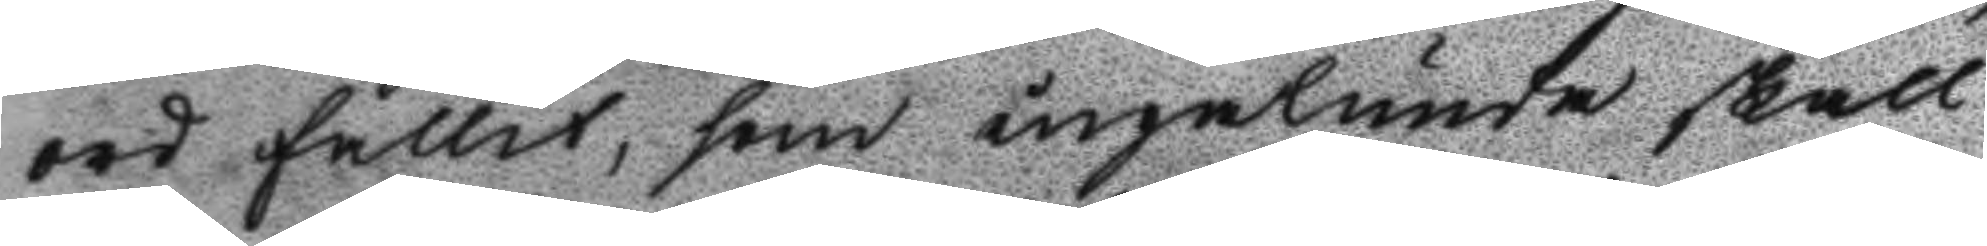ord fallit, som ingalunda skall
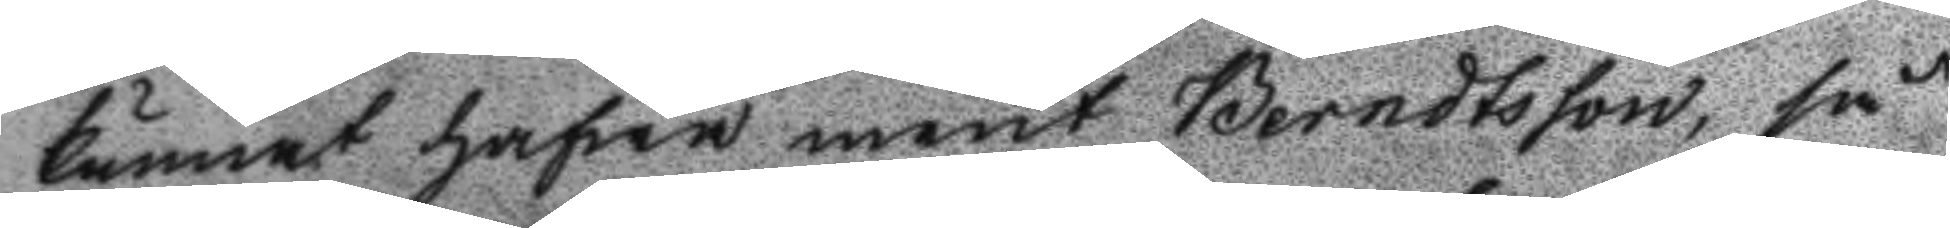kunnat hafwa ment Berndtsson, så
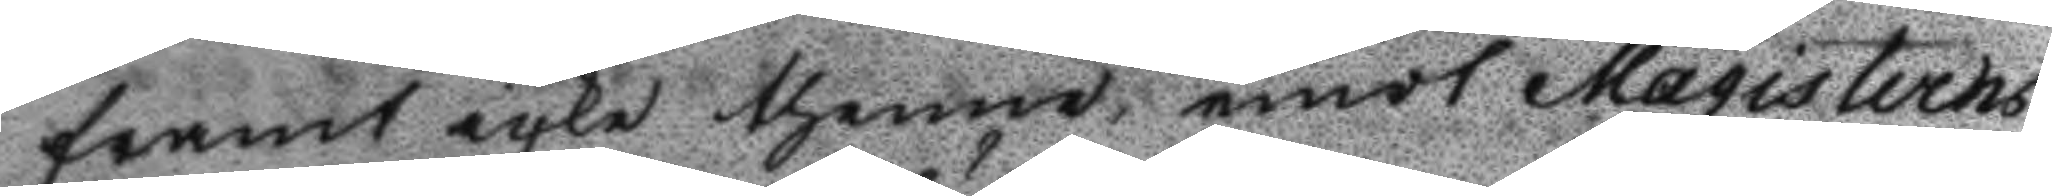framt icke thenne emot Magisterns
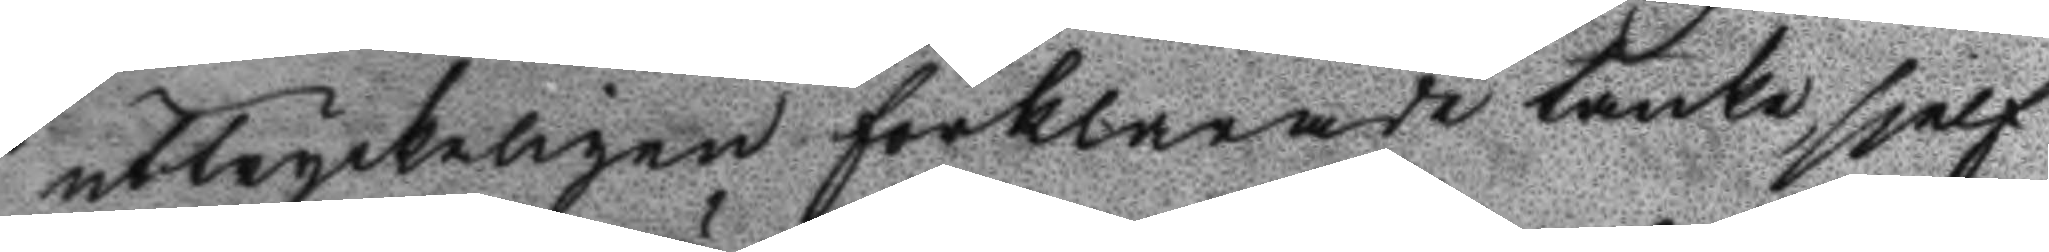uttryckeligen förklarnade tanke, sjelf
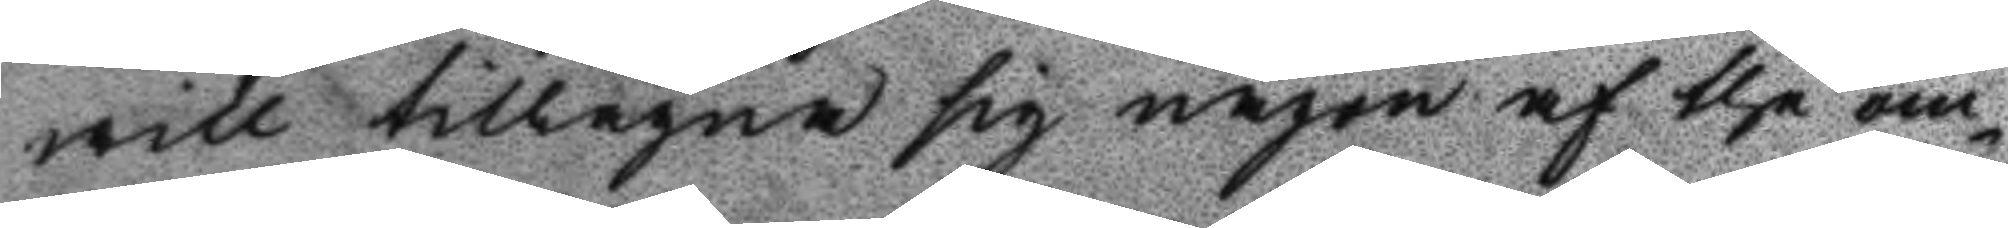will tillägna sig någon af the om¬
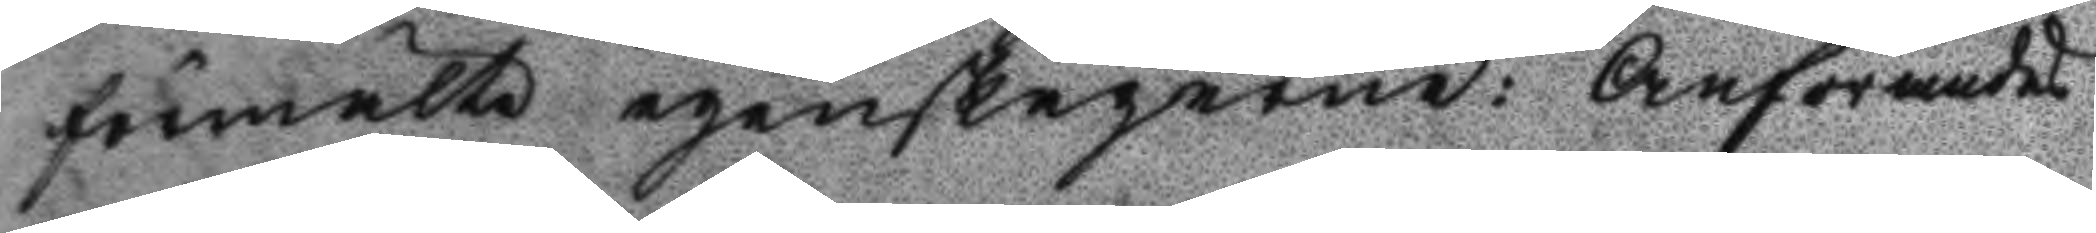förmälte egenskaperne: Anförandes
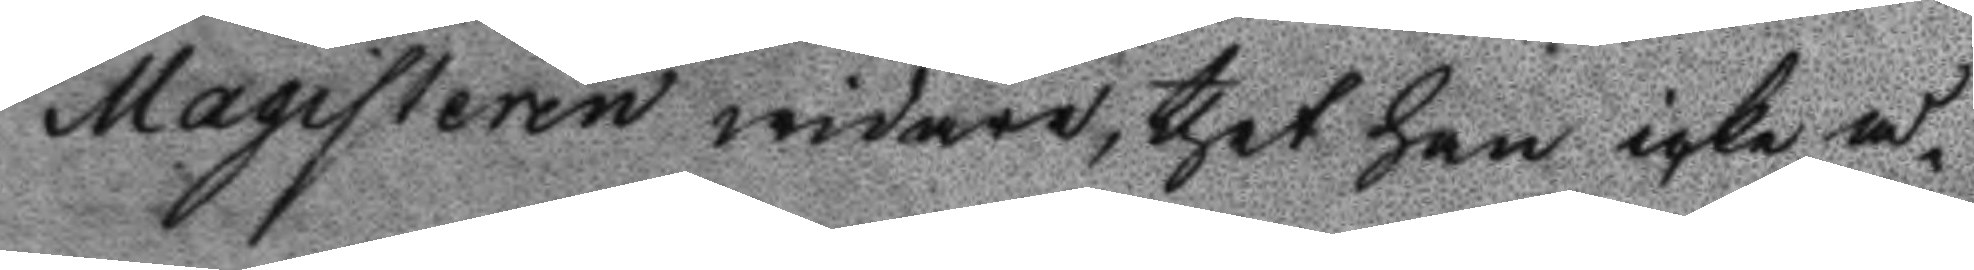Magistern widare, thet han icke å¬
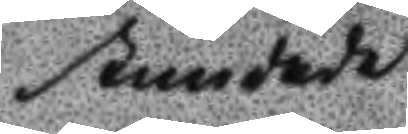stundade
